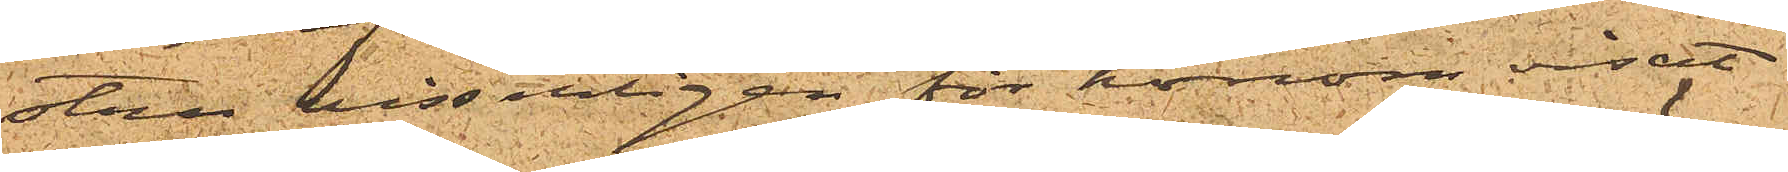stru visserligen för honom visat
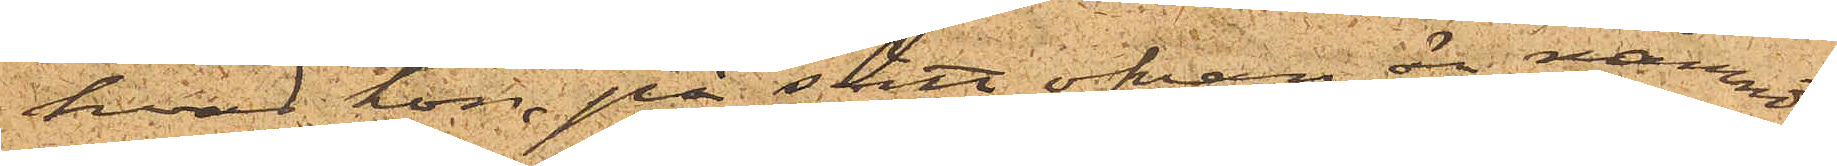hvad hon, på sätt ofvan är nämndt,
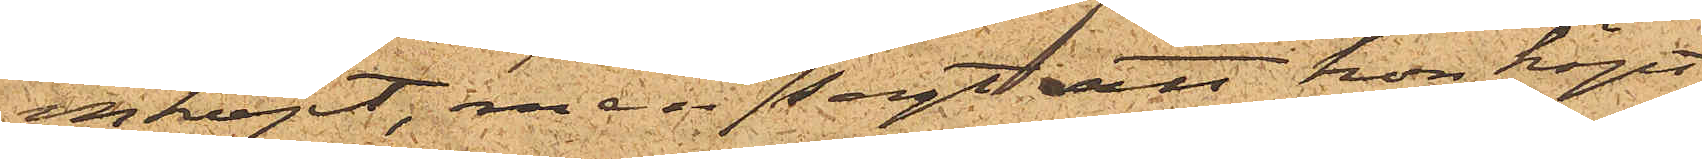inköpt, men ej sagt att hon köpt
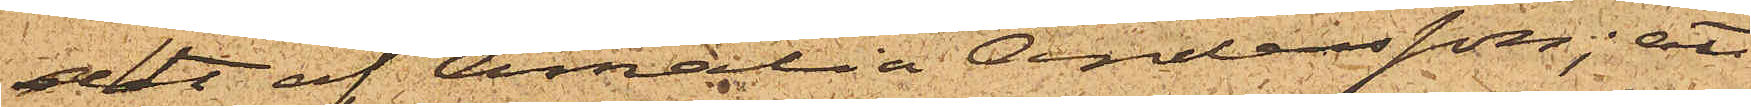det af Amalia Andersson; att
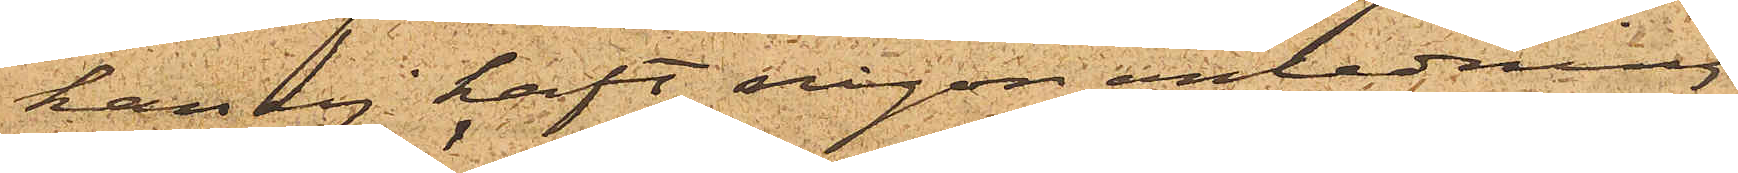han ej haft någon anledning
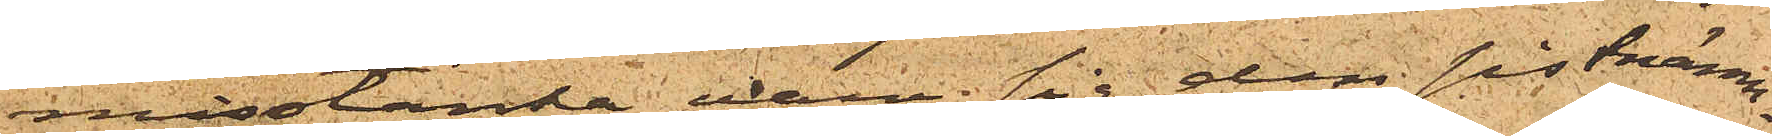misstänka vare sig den sistnämn¬
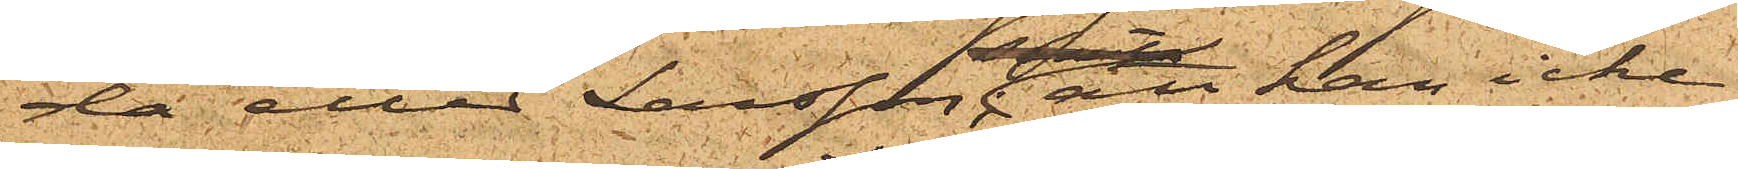da eller Larsson; att han icke
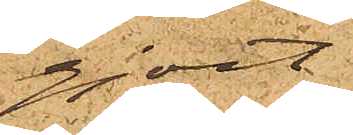gjort
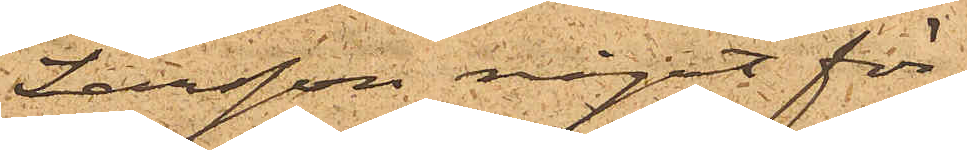Larsson något för¬
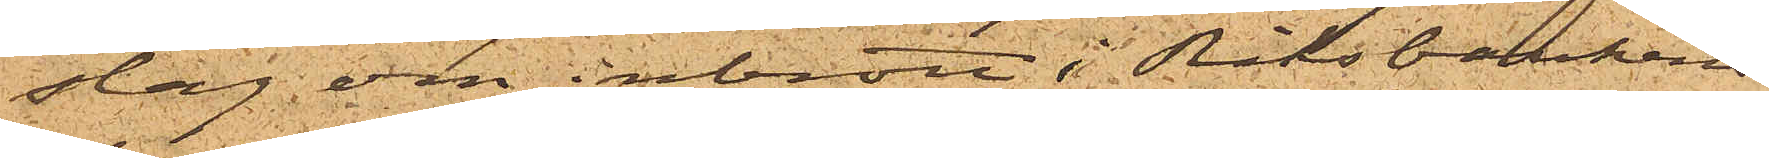slag om inbrott i Riksbankens
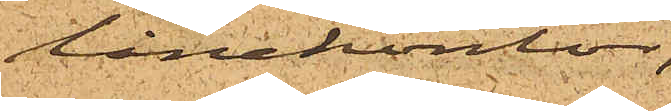lånekontor,
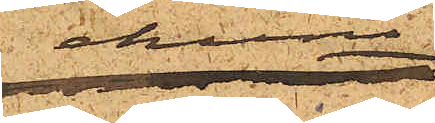ehuru
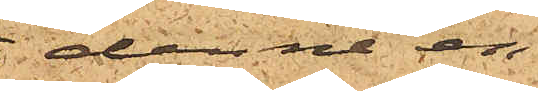denne en
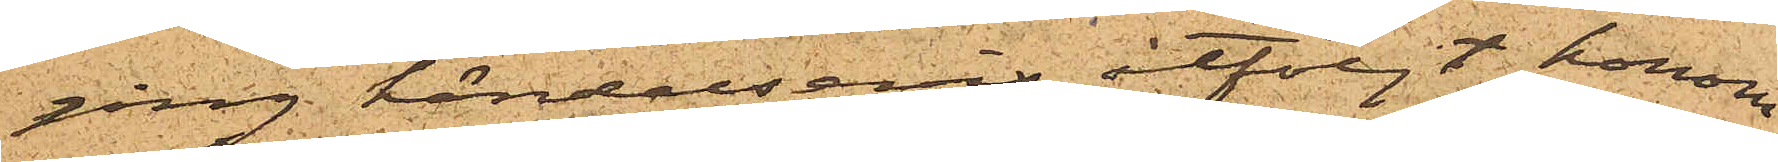gång händelsevis åtföljt honom
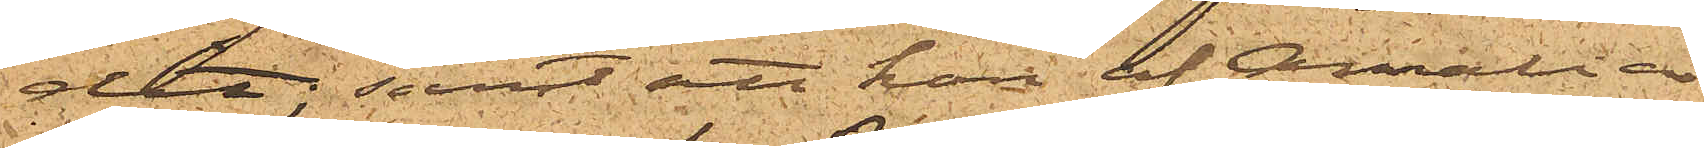dit; samt att han af Amalia
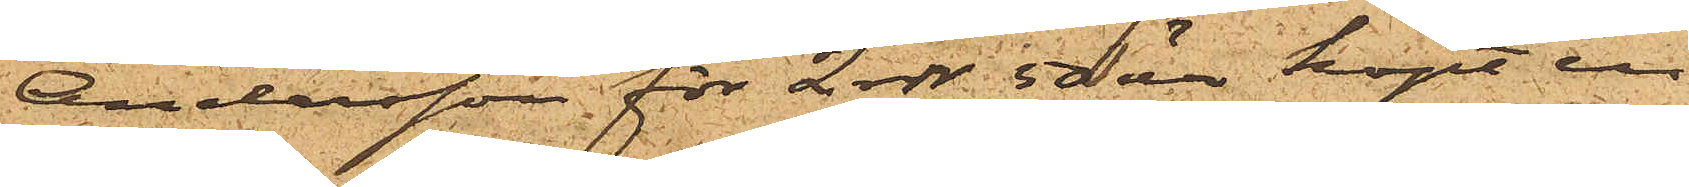Andersson för 2 rdr 50 öre köpt en
